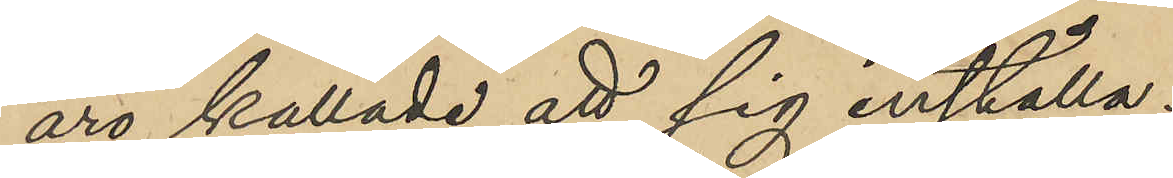äro kallade att sig inställa.
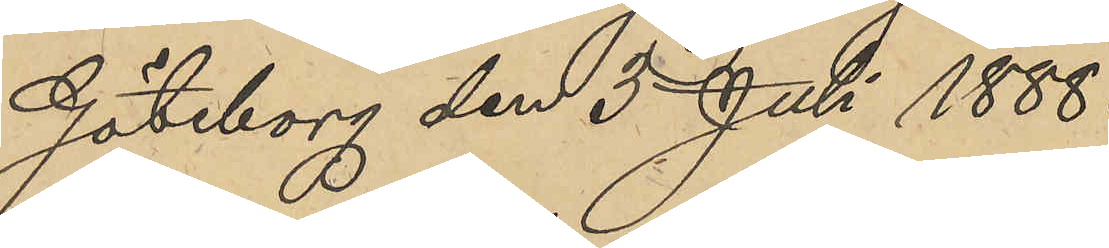Göteborg den 3 Juli 1888.
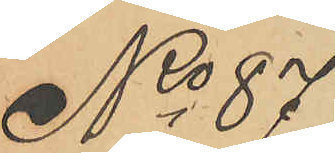No 87
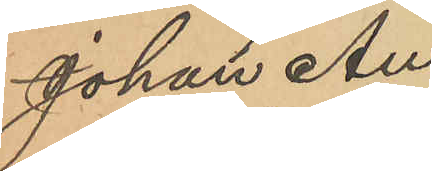Johan Au¬
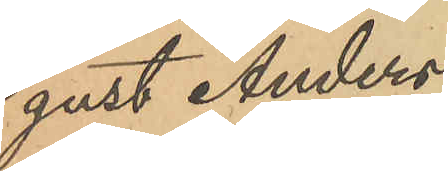gust Anders¬
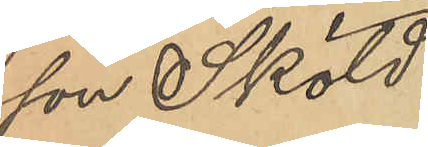son Sköld.
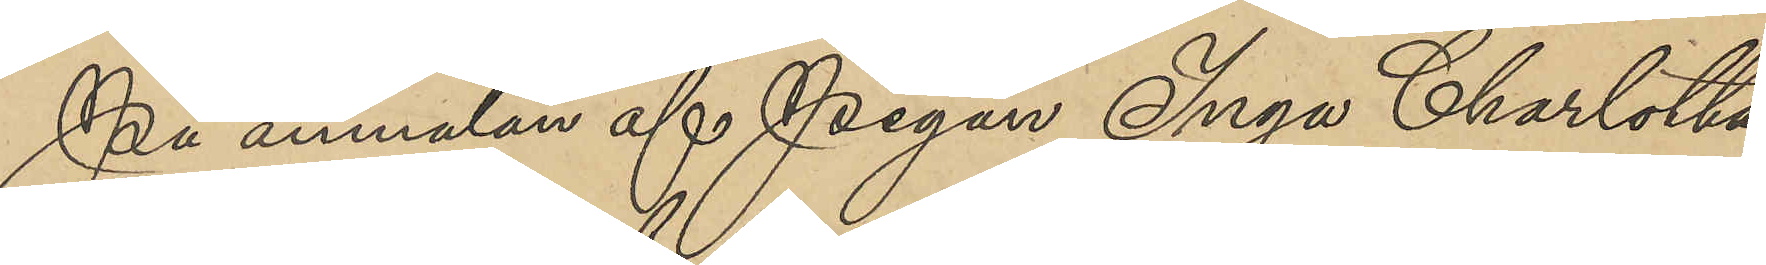På anmälan af Pigan Inga Charlotta
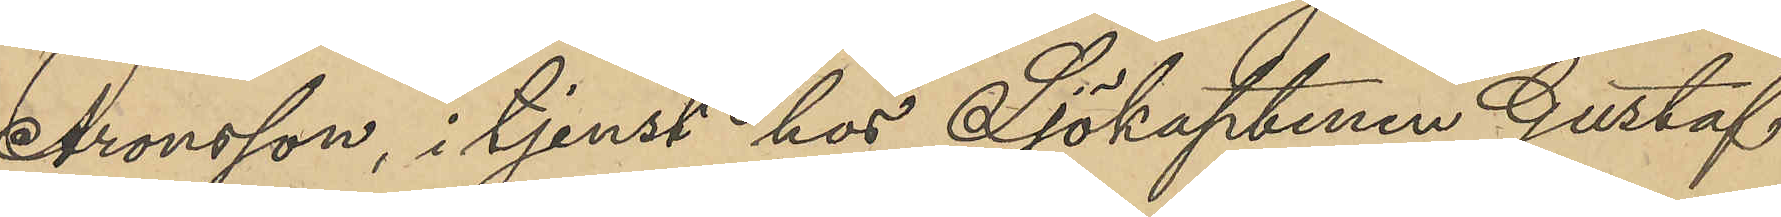Aronsson, i tjenst hos Sjökaptenen Gustaf
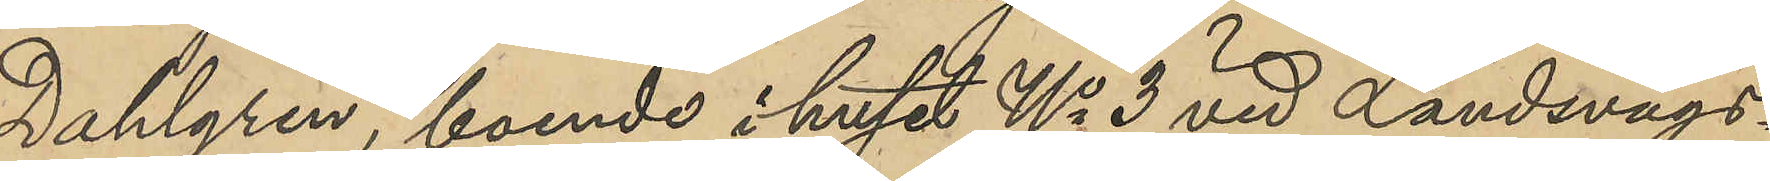Dahlgren, boende i huset No 3 vid Landsvägs¬
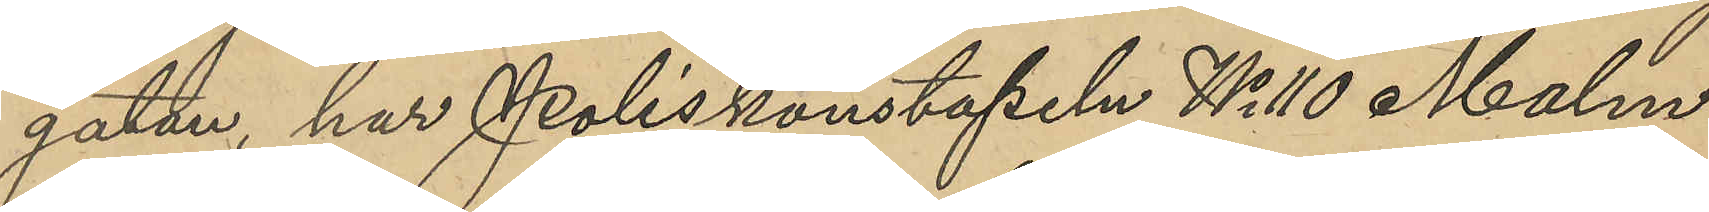gatan, har Poliskonstapeln No 110 Malm
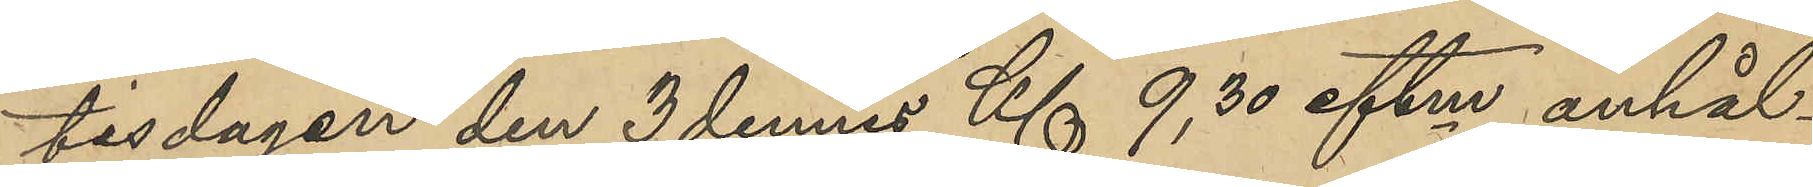tidagen den 3 dennes Kl 9, 30 eftm anhål¬
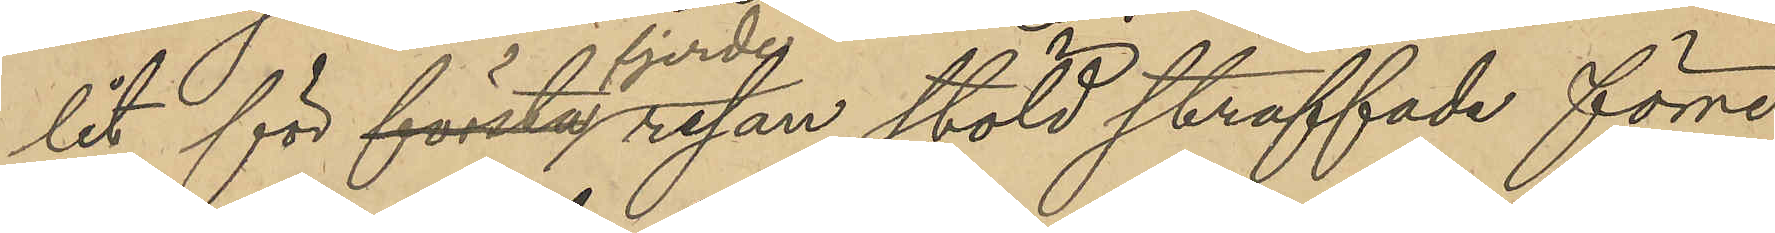lit för första fjerde resan stöld straffade förre
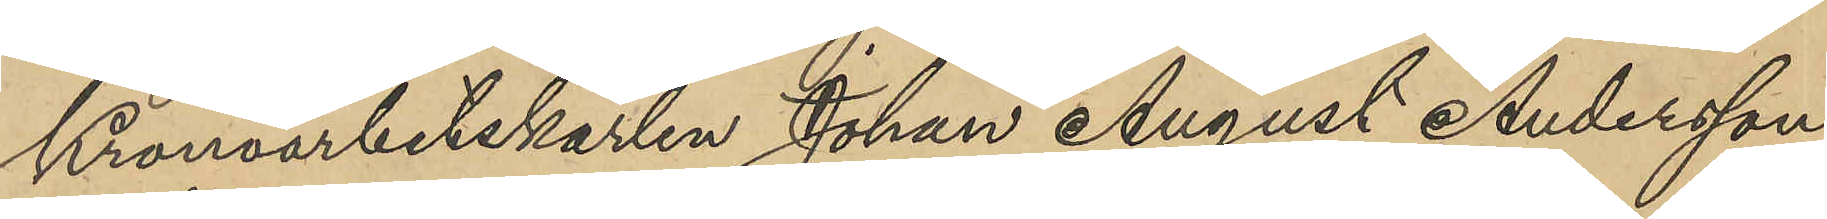Kronoarbetskarlen Johan August Andersson
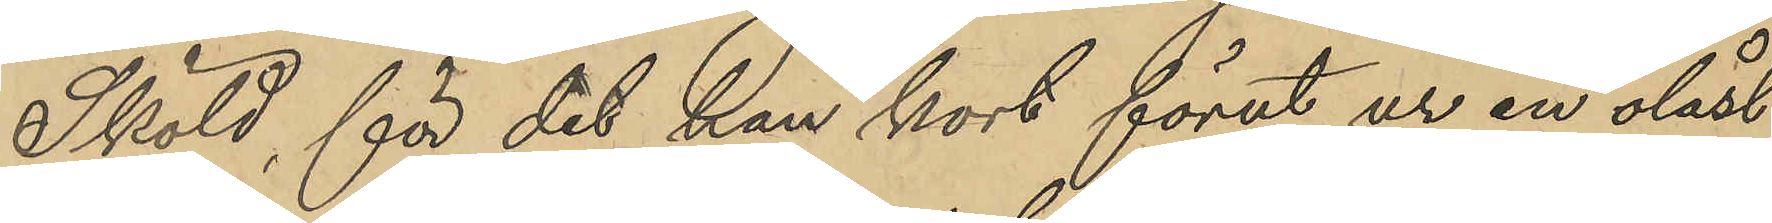Sköld, för det han kort förut ur en olåst
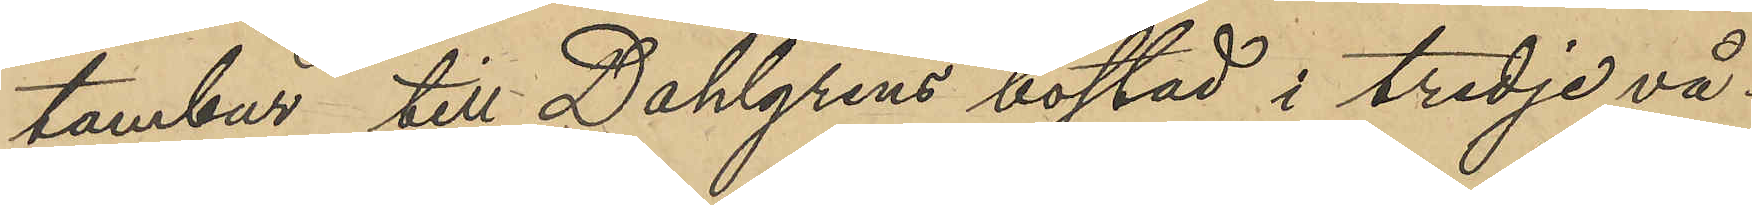tambur till Dahlgrens bostad i tredje vå¬
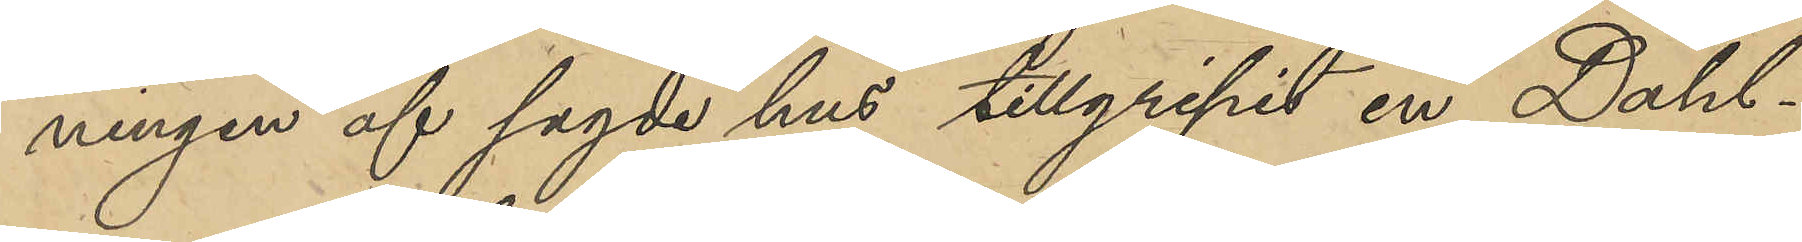ningen af sagde hus tillgripit en Dahl¬
